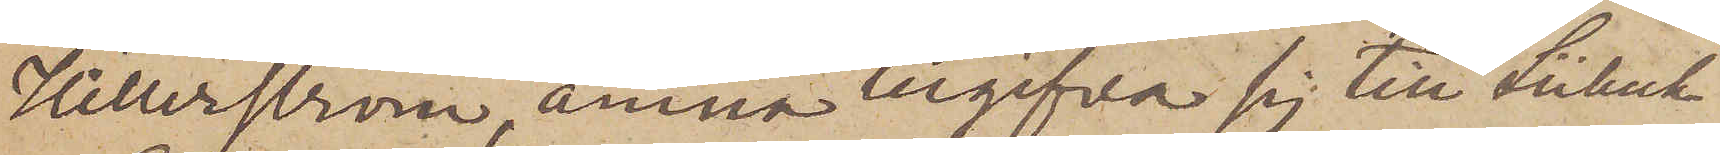Hillerström, ämna begifva sig till Lübeck"
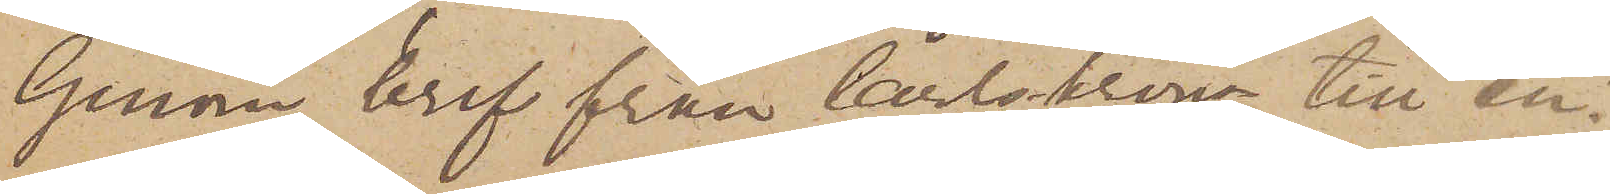Genom bref från Carlskrona till en¬
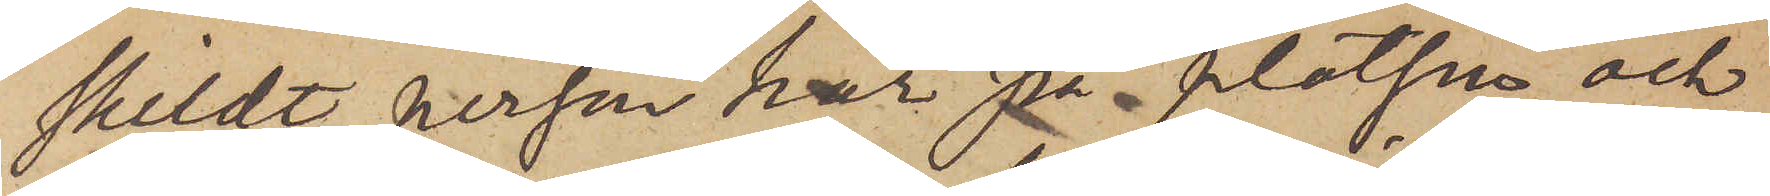skildt person här på platsen och
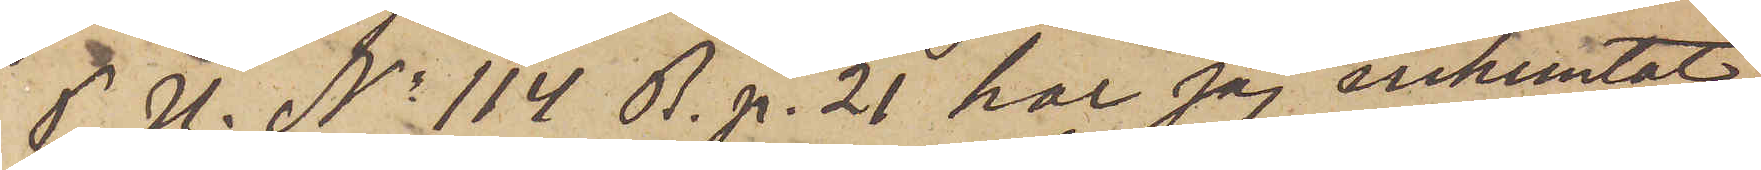P. U. No 114 B. p. 21 har jag inhemtat,
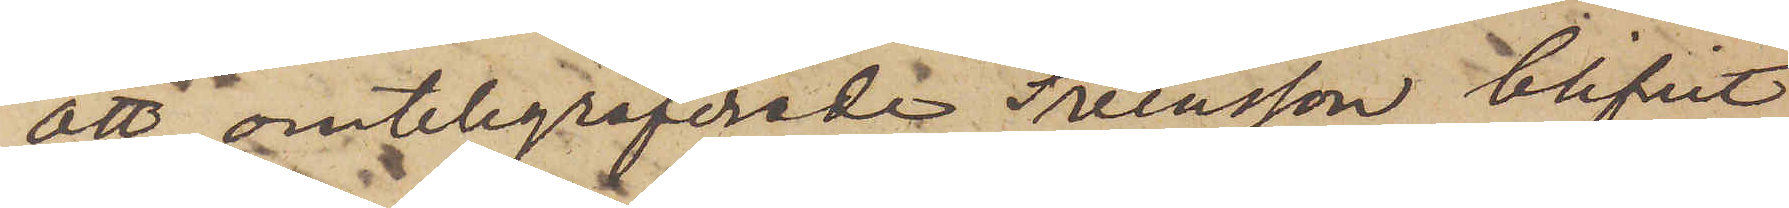att omtelegraferade Svensson blifvit
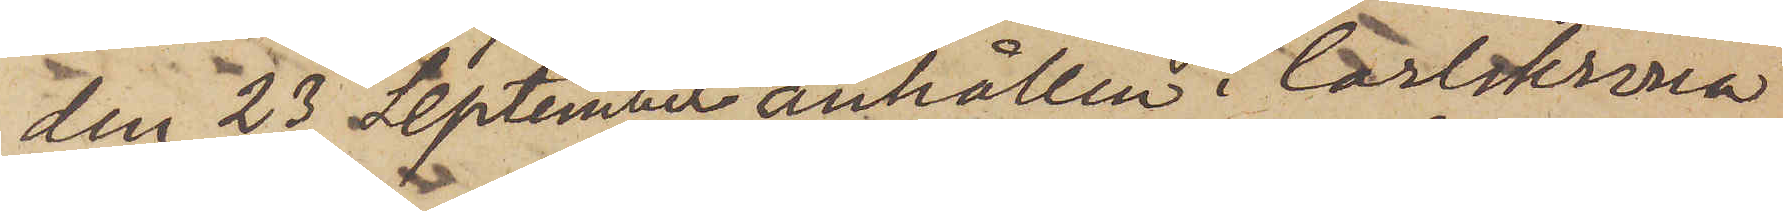den 23 September anhållen i Carlskrona
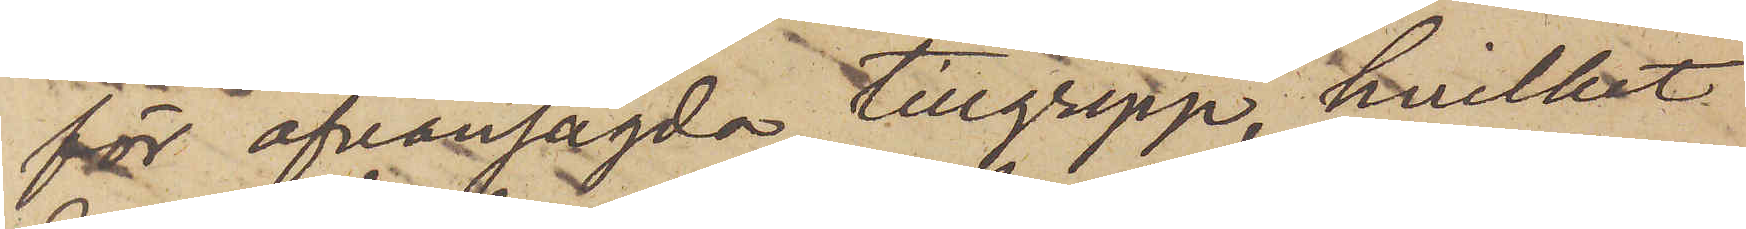för ofvansagde tillgrepp, hvilket
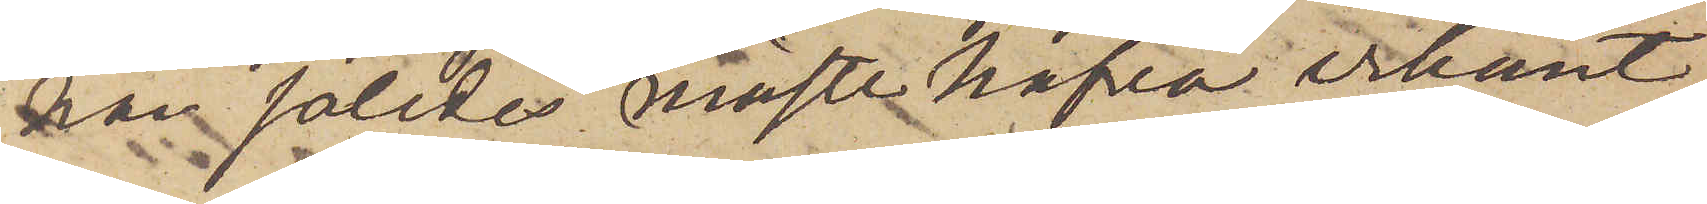han således måste hafva erkänt,
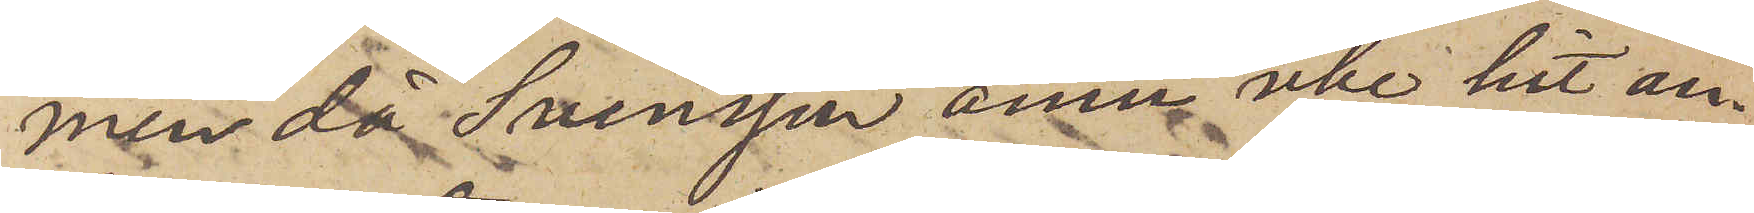men då Svensson ännu icke hit an¬
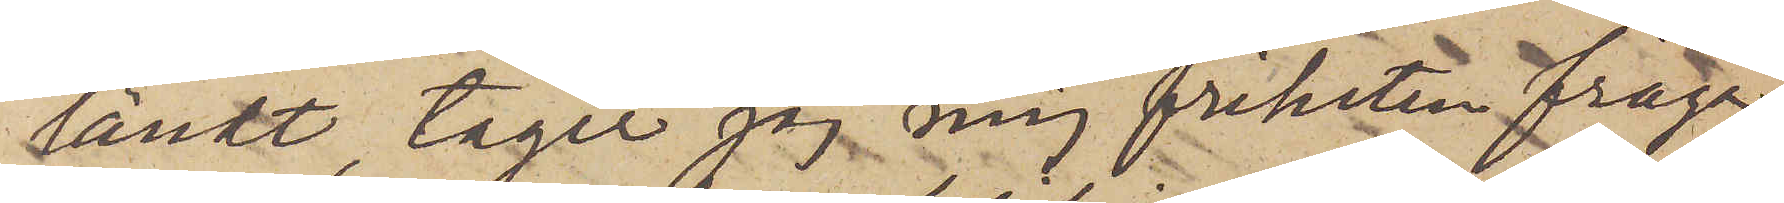ländt tager jag mig friheten fråga,
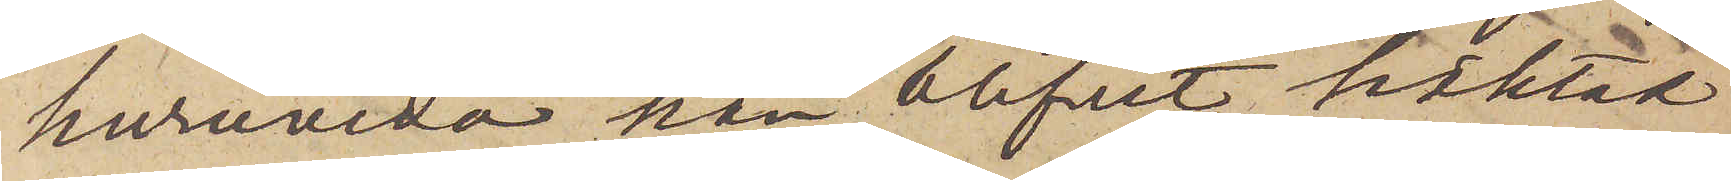huruvida han blifvit häktad
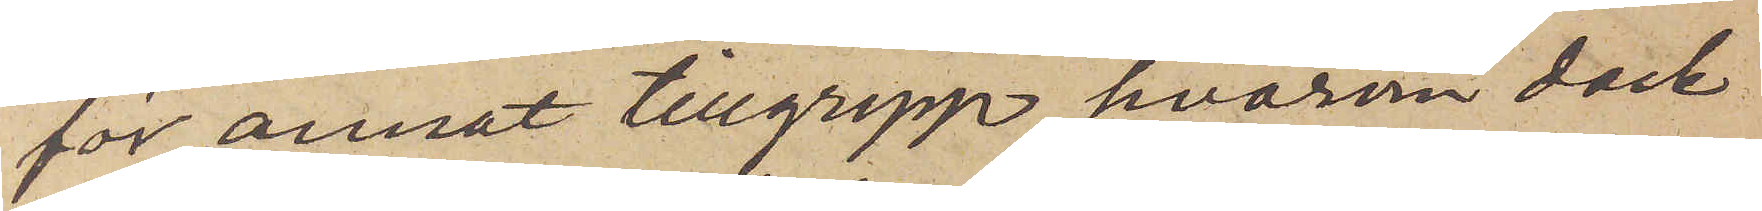för annat tillgrepp, hvarom dock
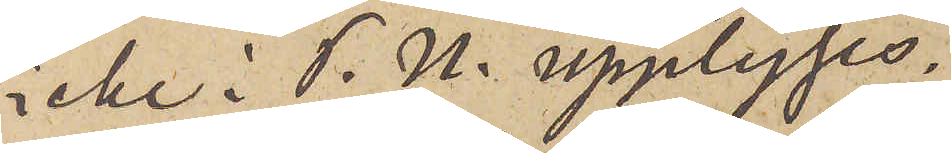icke i P. U. upplyses.
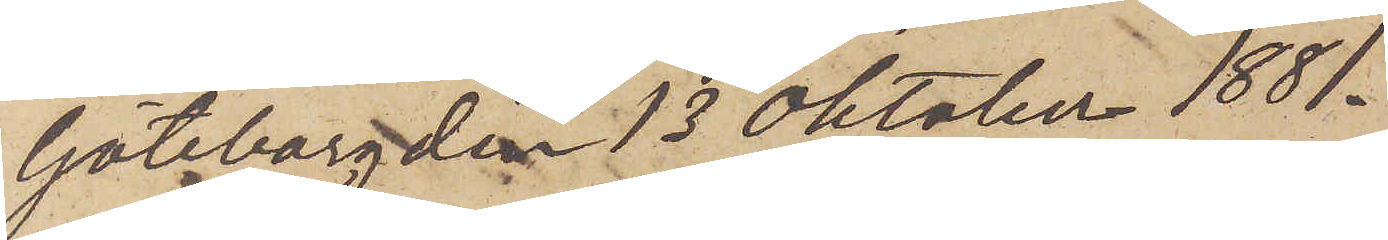Göteborg den 13 Oktober 1881.
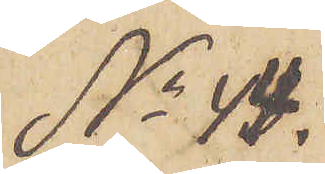No 44.
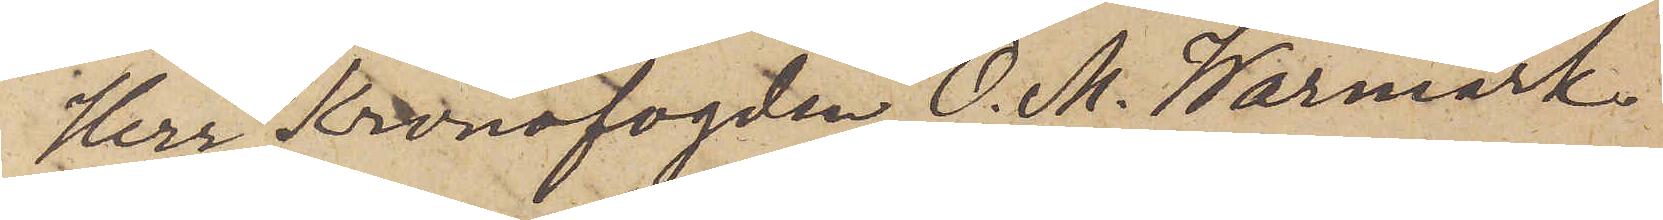Herr Kronofogden O. M. Warmark
